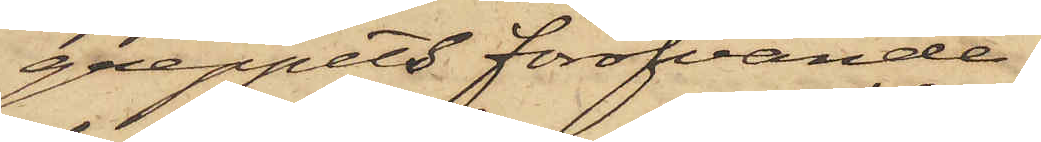greppets föröfvande
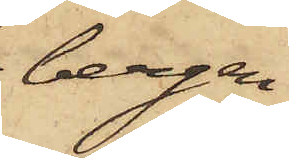i bergen
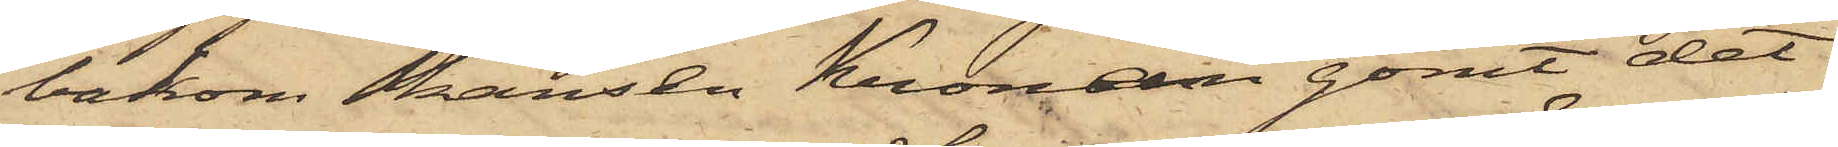bakom Skansen Kronan gömt det
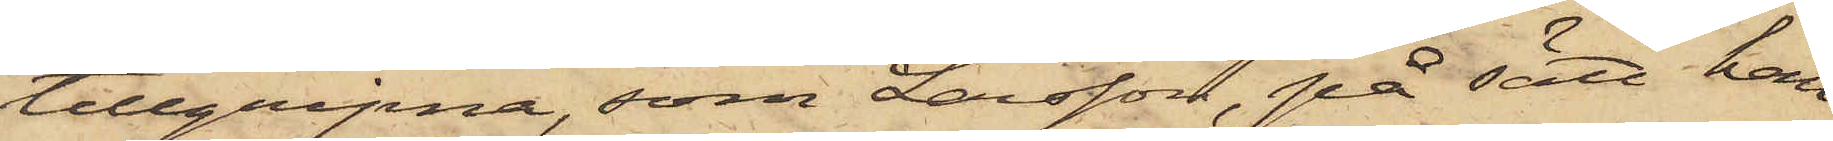tillgripna, som Larsson, på sätt han
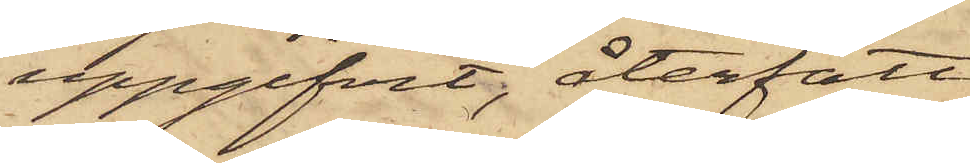uppgifvit, återfått
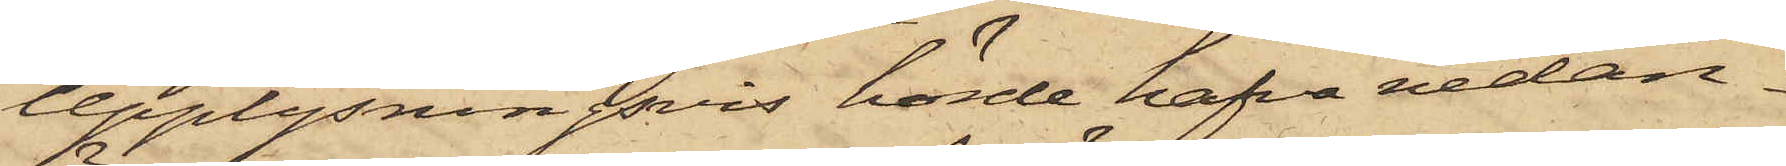Upplysningsvis hörde hafva nedan
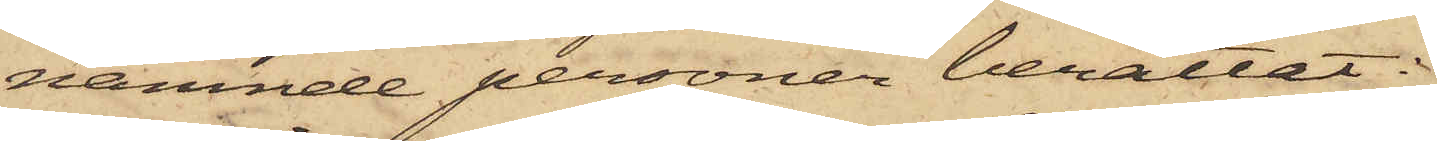nämnde personer berättat:
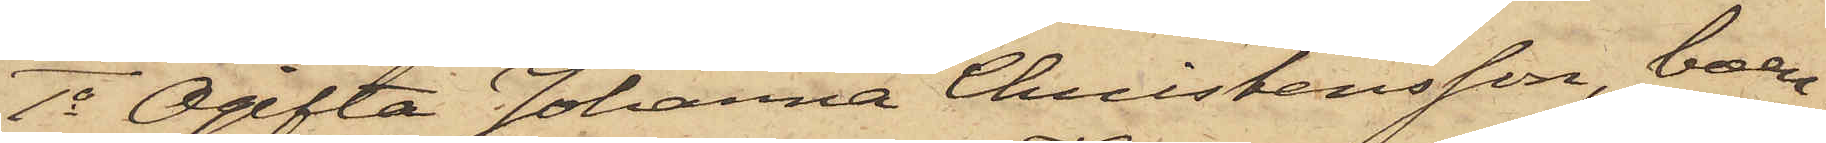1o Ogifta Johanna Christensson, boen¬
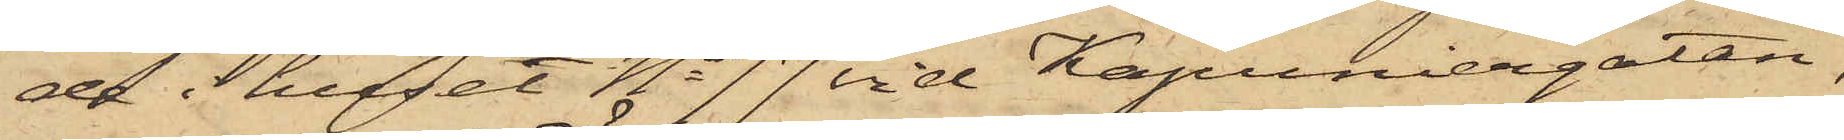de i huset No 77 vid Kapuniergatan,
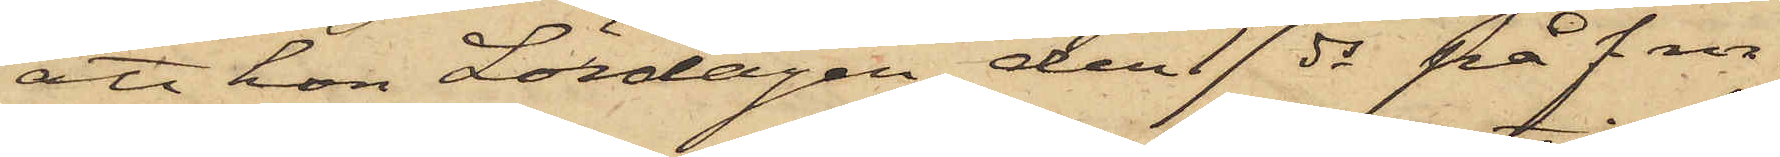att hon Lördagen den 17 ds på f m.
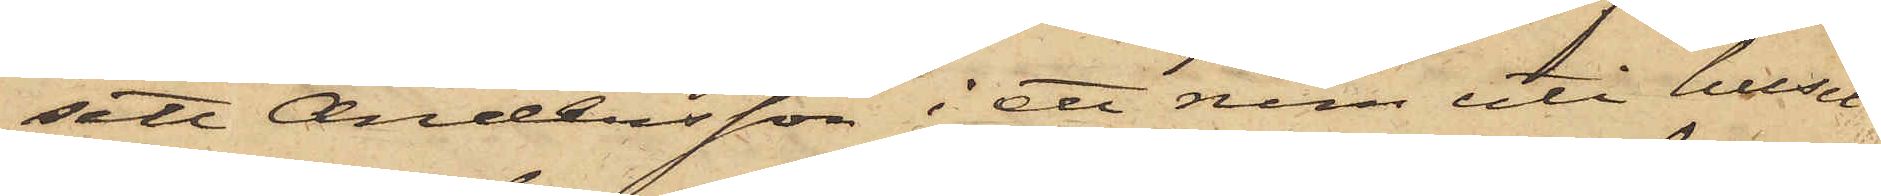sett Andersson i ett rum uti huset
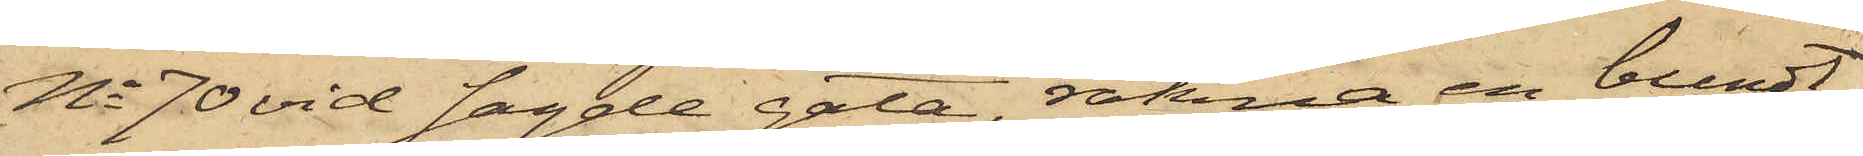No 70 vid sagde gata, räkna en bundt
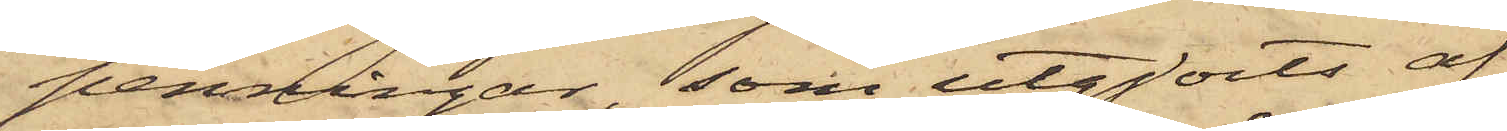penningar, som utgjorts af
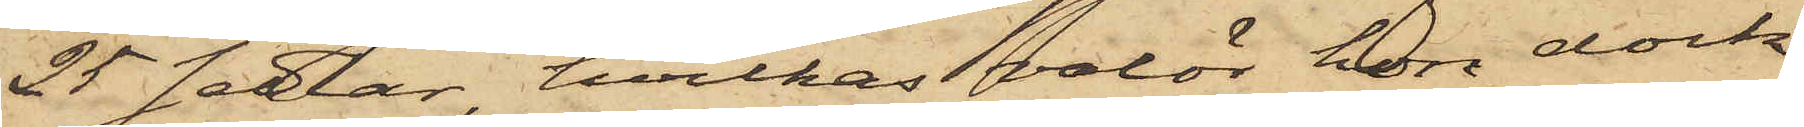25 sedlar, hvilkas valör hon dock
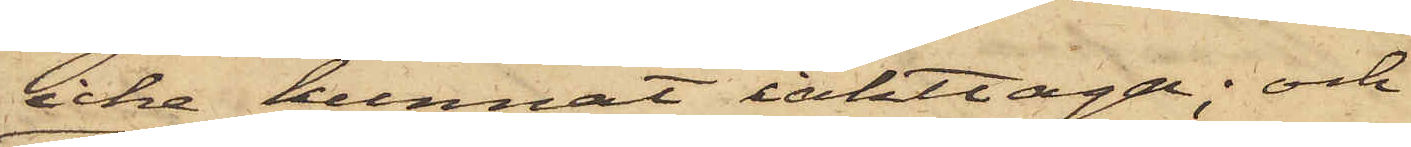icke kunnat iakttaga; och
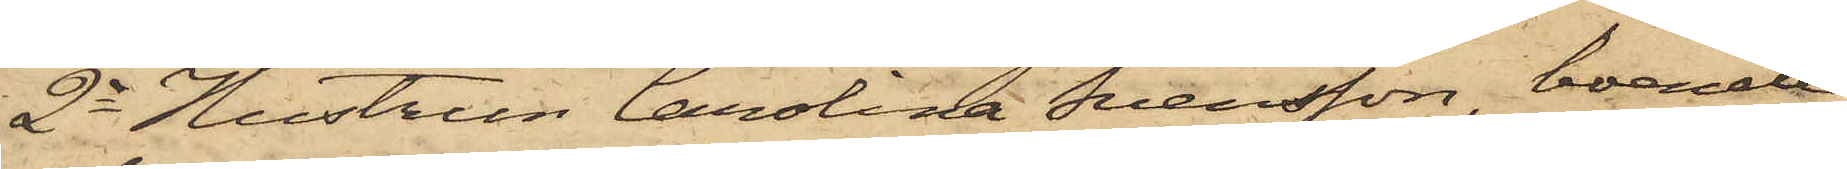2o Hustrun Carolina Svensson, boende
